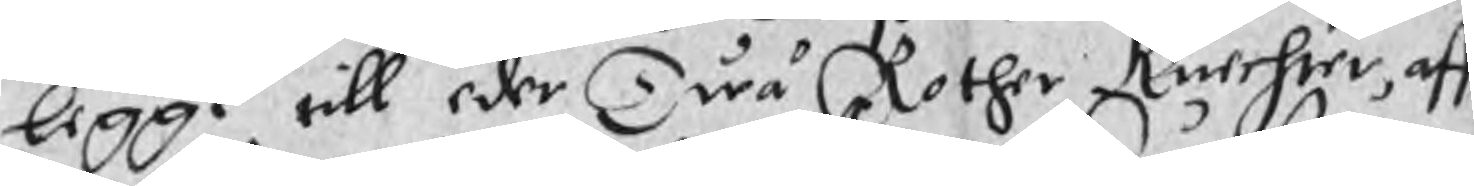legge till eder Twå Rother Knechter aff
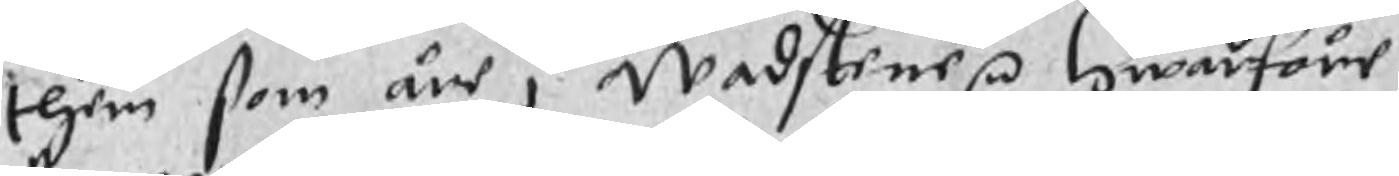them som äre i Wadstene r Hwarföre
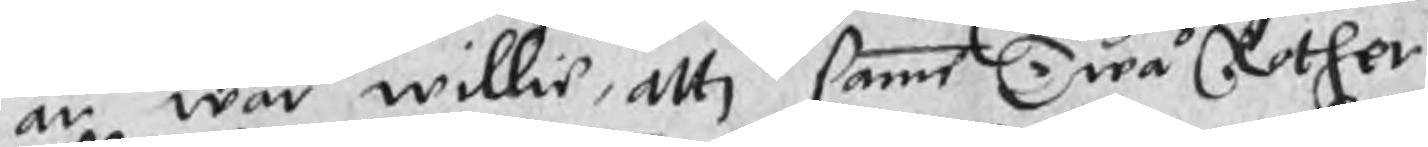är wår willie, atti samme Twå Rother
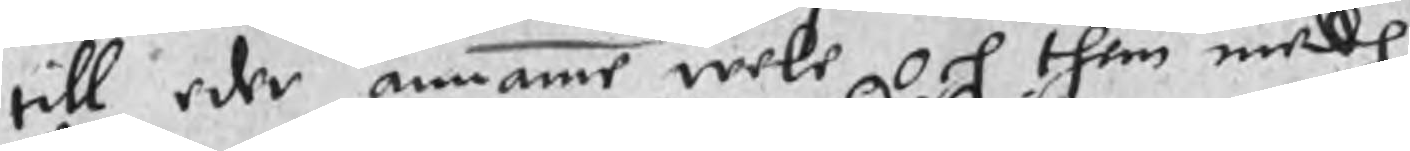till eder annamme wele och them medh
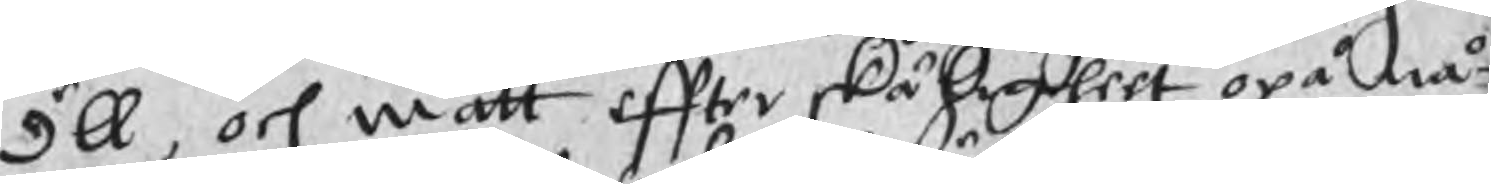öll, och matt effter skäligheet opå nå¬
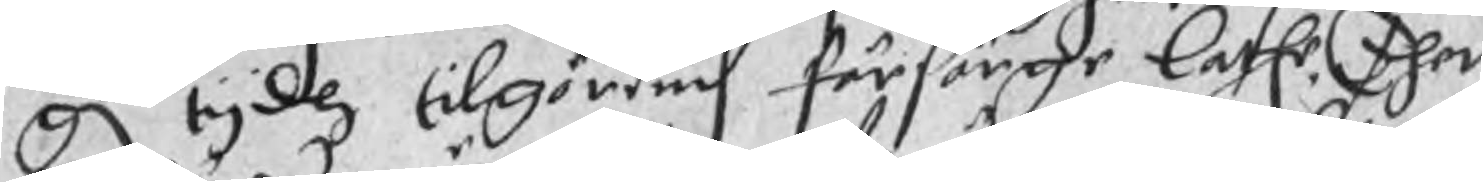gn tydh tilgöernd försörge lathe. Ther
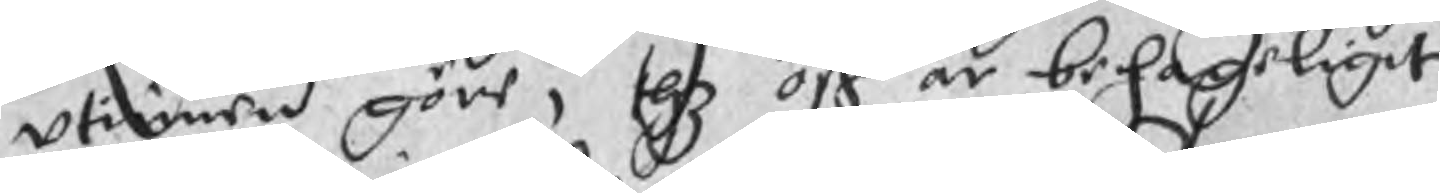utinnen göre, thz oß är behageligit
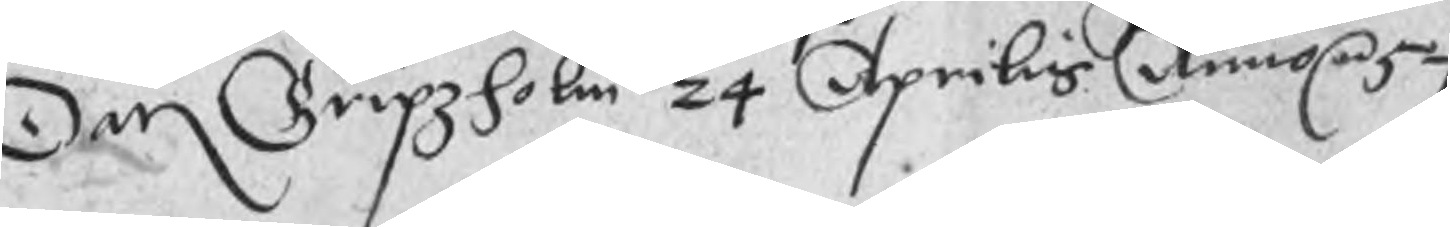Dan Gripzholm 24 Aprilis Anno re 57
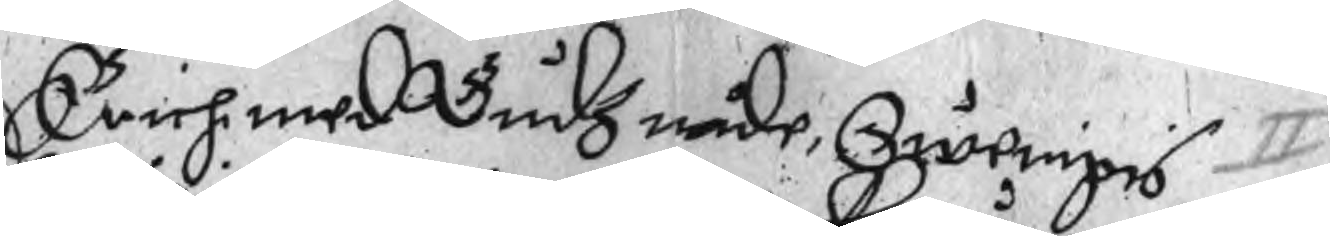Erichi med Gudz nåde Swerigis
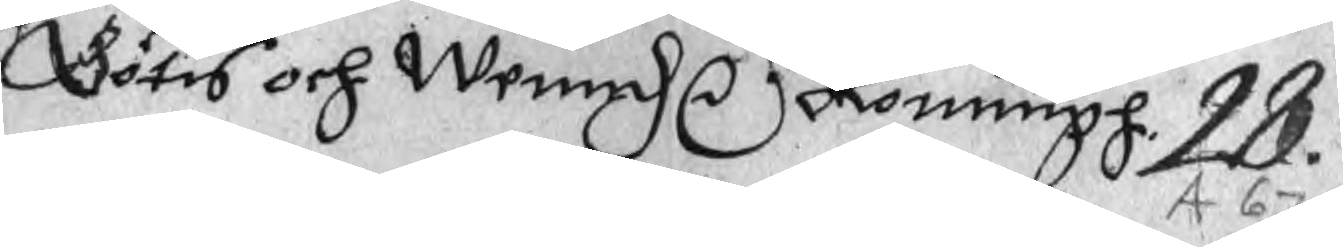Götis och Wennd r Konungh. 28.
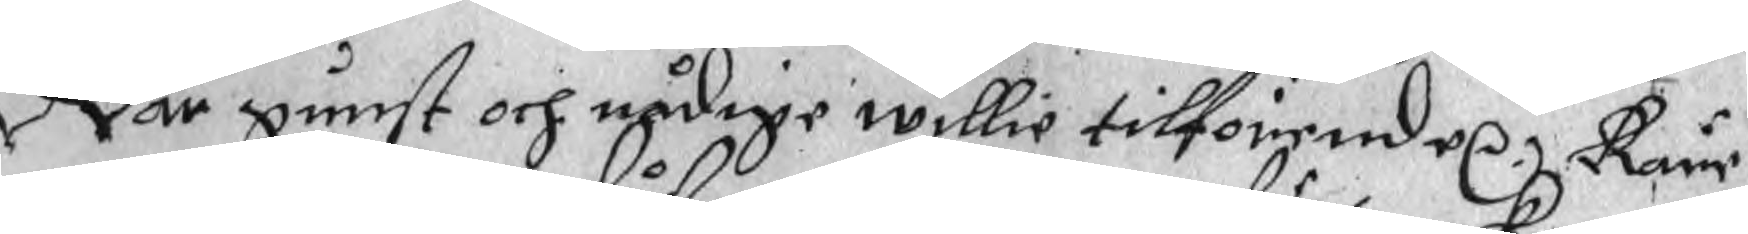Wår gunst och nådige willie tilförende re Käre
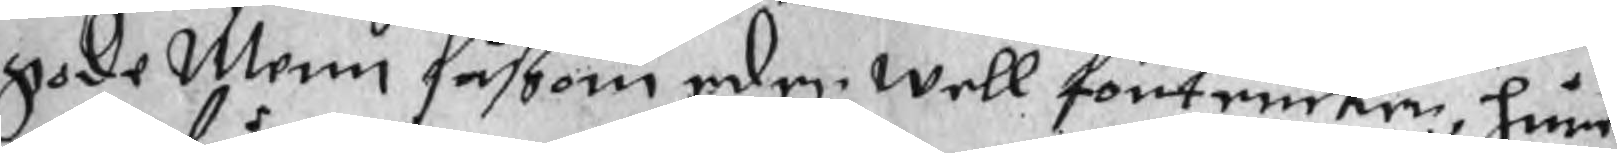gode Menn såßom eder well förtencker, hure
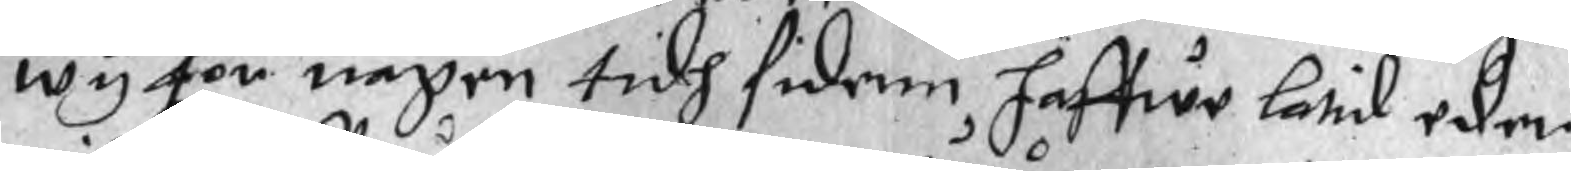wy för någen tidh sidenn haffwe latid eder
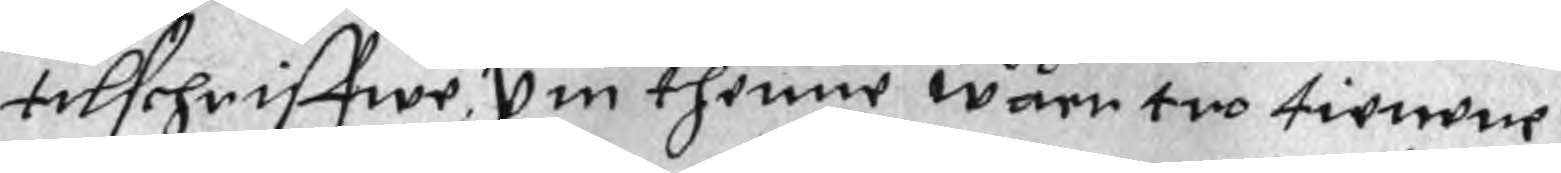tilschriffwe. Om thenne wåre tro tienene
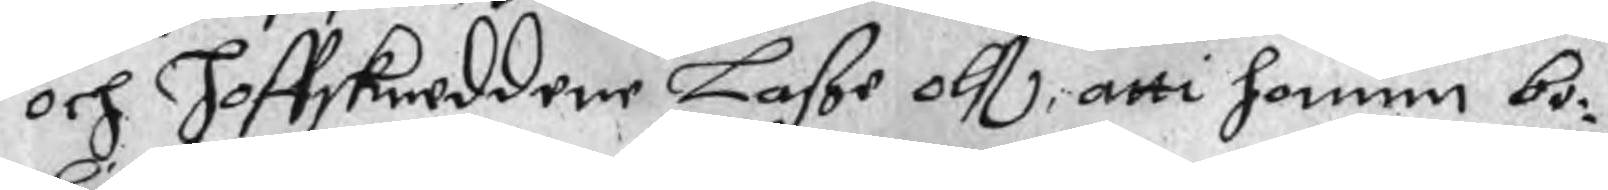och Hoffskreddere Laße olß, atti honum bo¬
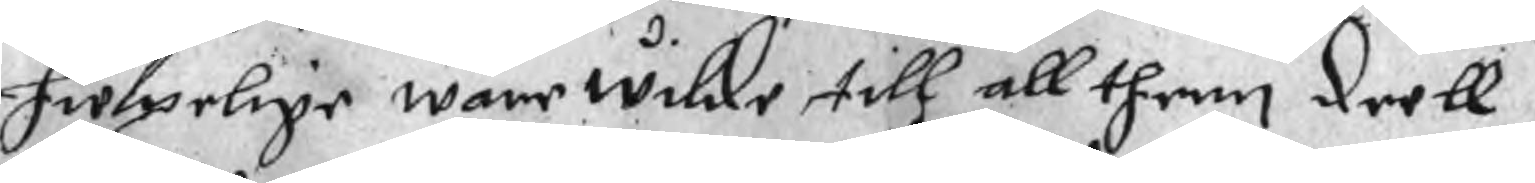hwlpelige ware wilde till all them deell
